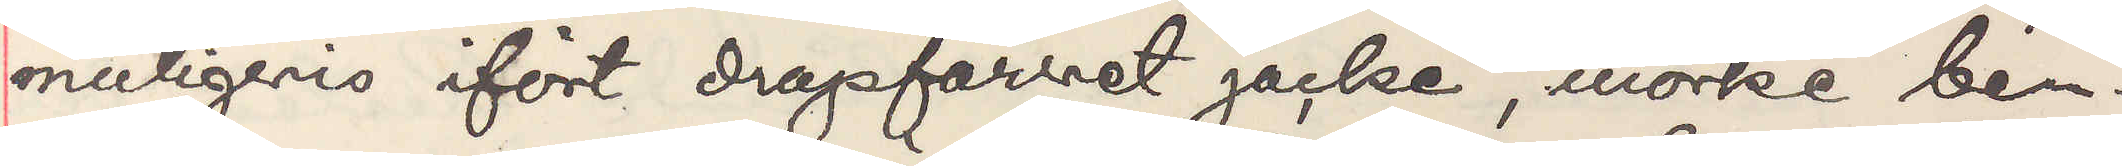muligvis ifört drapforret jacke, mörke ben¬
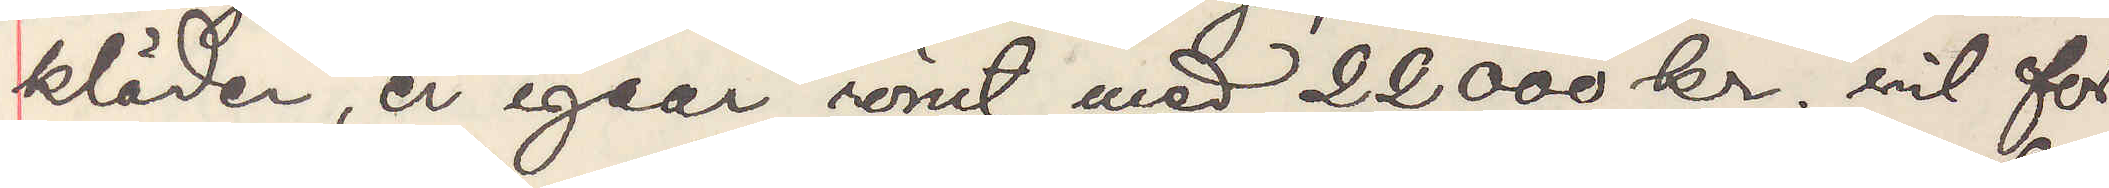kläder, er igaar römt med 22000 kr. vil for¬
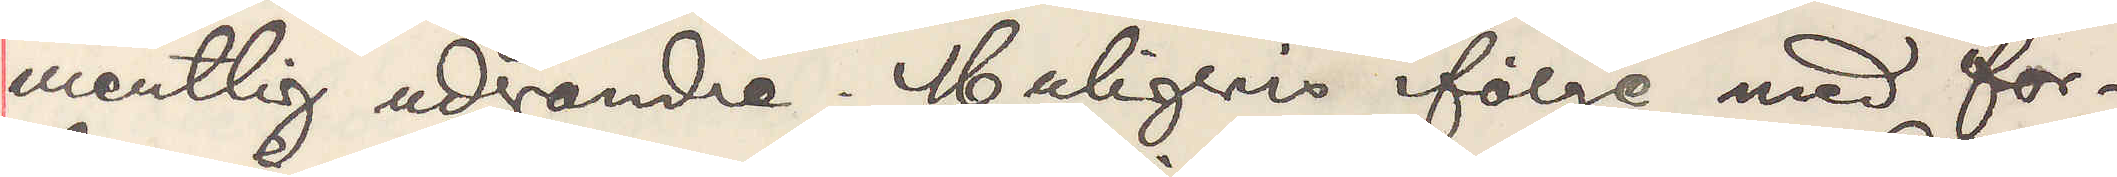mentlig udvandre. Muligvis ifölge med for¬
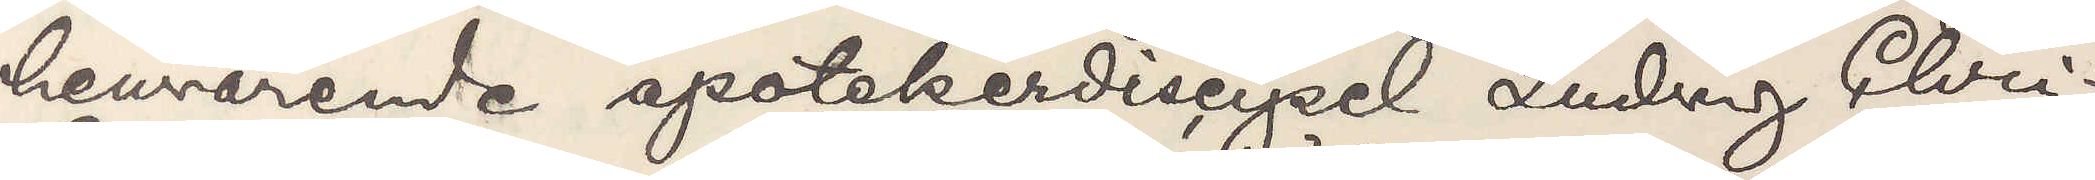henvarande apotekerdiscipel Ludwig Chri¬
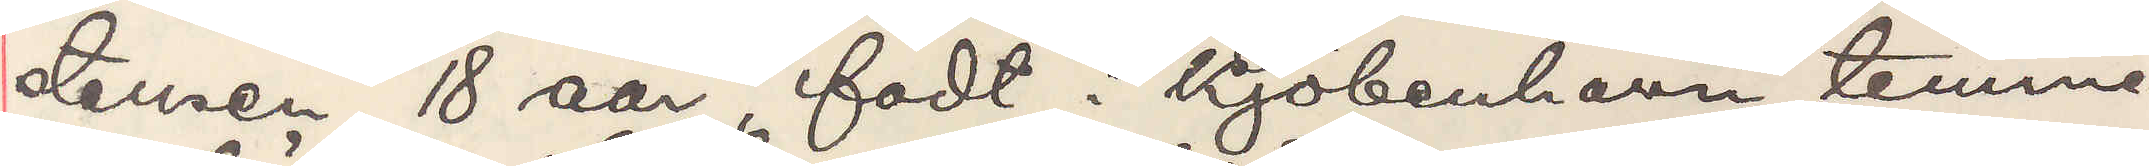stensen, 18 aar, födt i Kjöbenhavn, temme¬
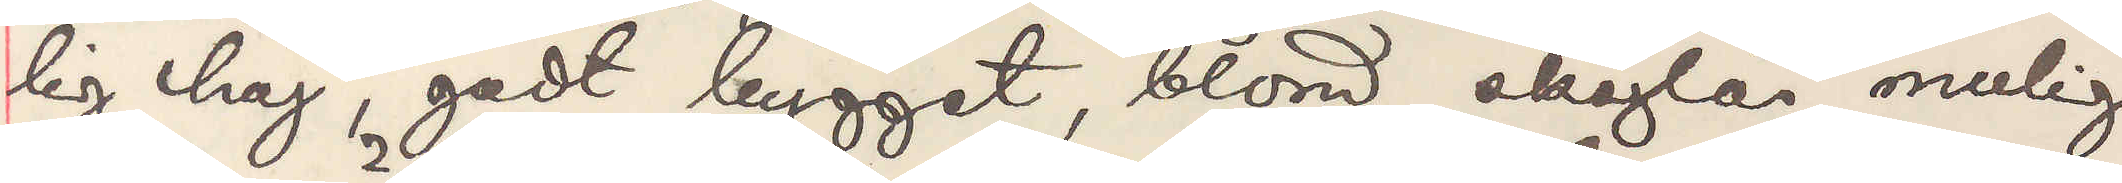lig höi, godt bygget, blond, skäglös, mulig
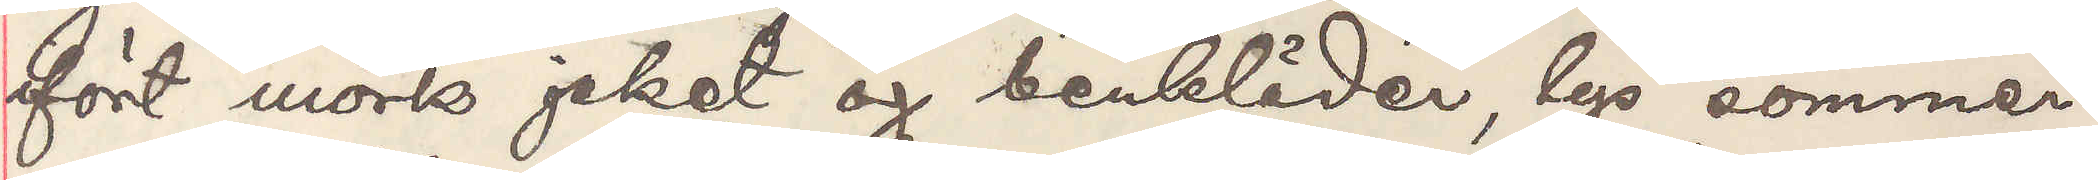ifört mörke jaket og benkläder, lys sommer¬
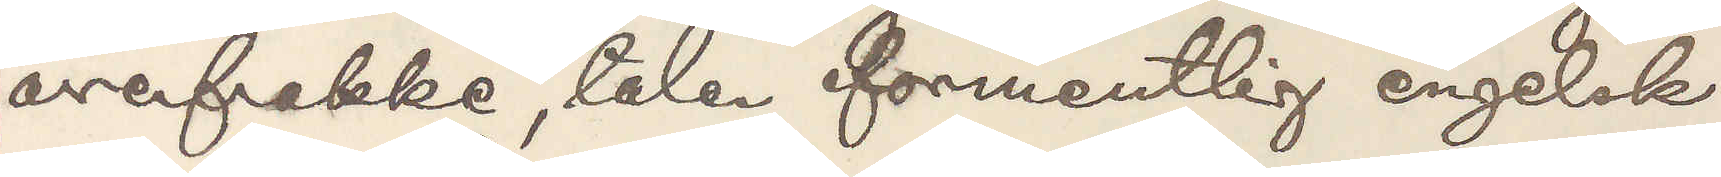overfrakke, taler formentlig engelsk.
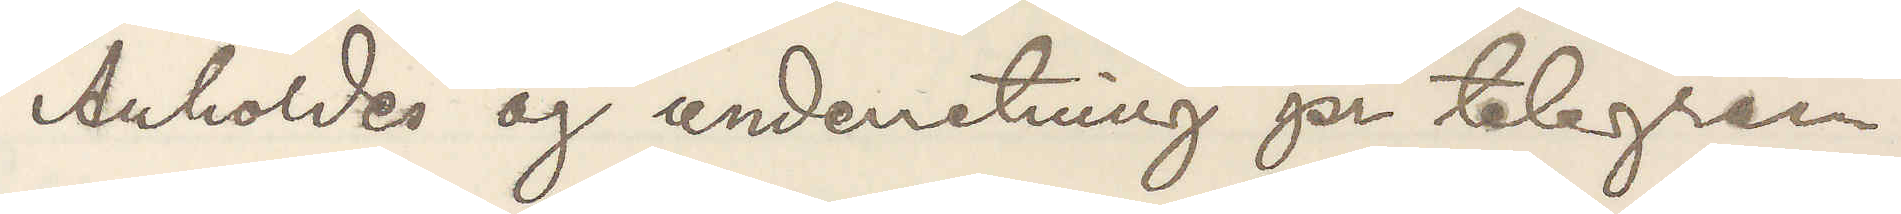Anholdes og underretning pr telegram
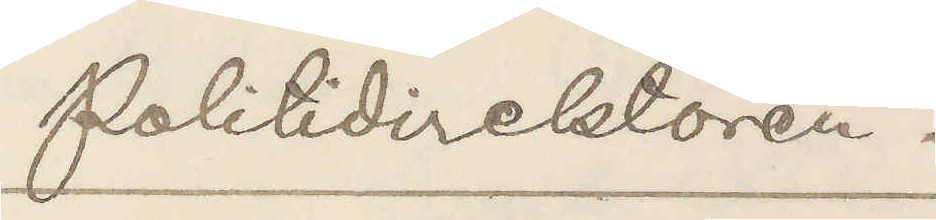Politidirektören.
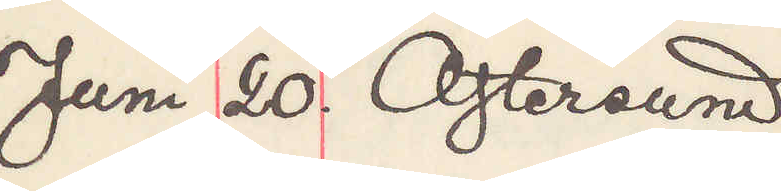Juni 20. Östersund
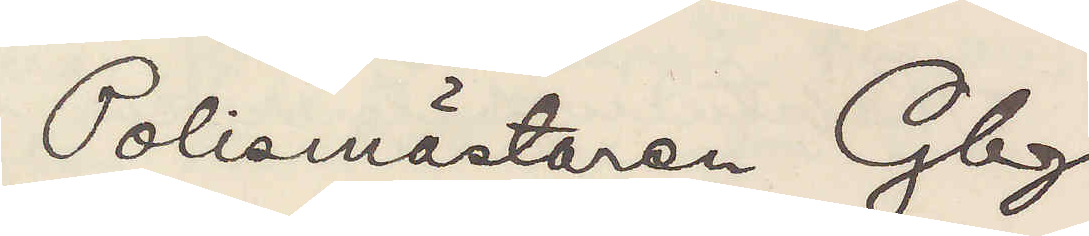Polismästaren Gbg
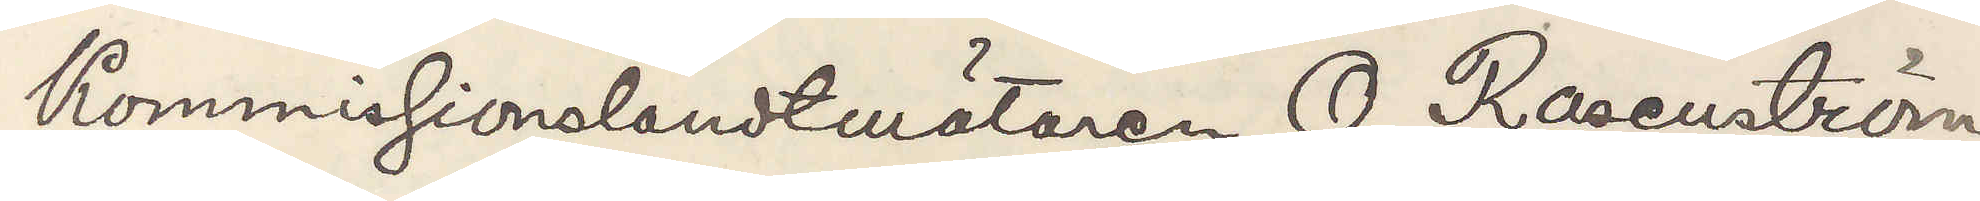Kommissionslandtmätaren O. Rosenström
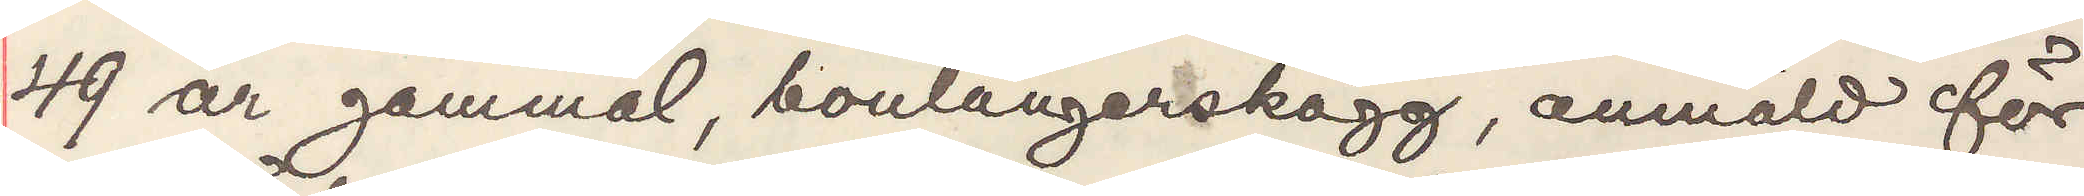49 år gammal, boulangerskägg, anmäld för
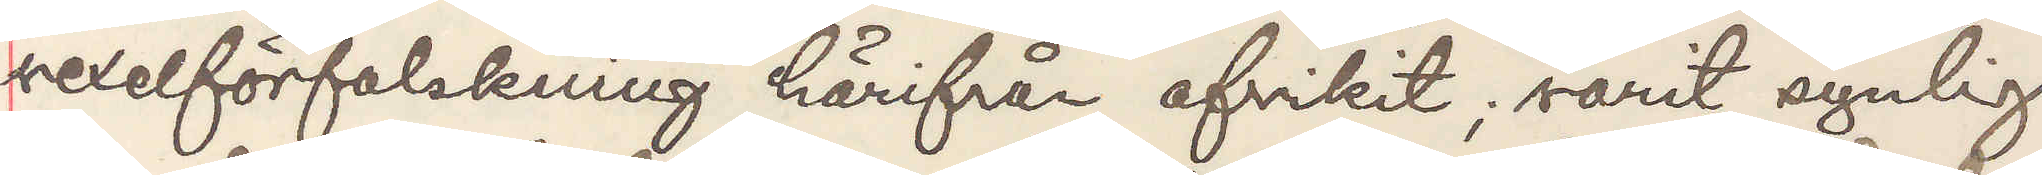sedelförfalskning härifrån afvikit; varit synlig
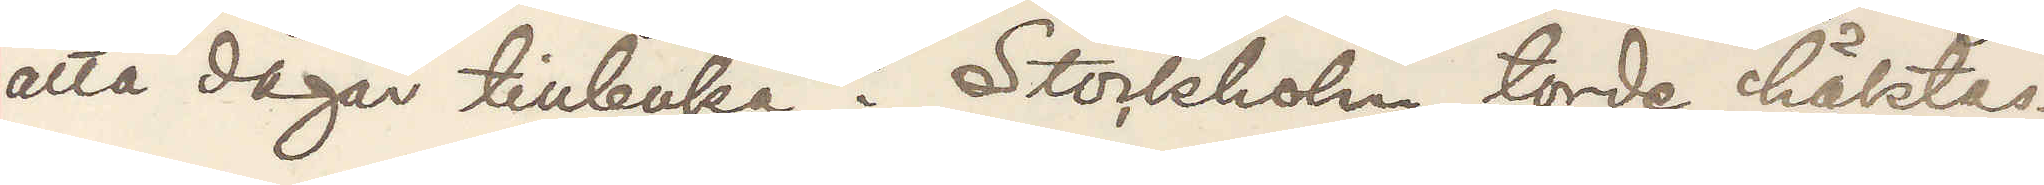åtta dagar tillbaka i Stockholm, torde häktas.
